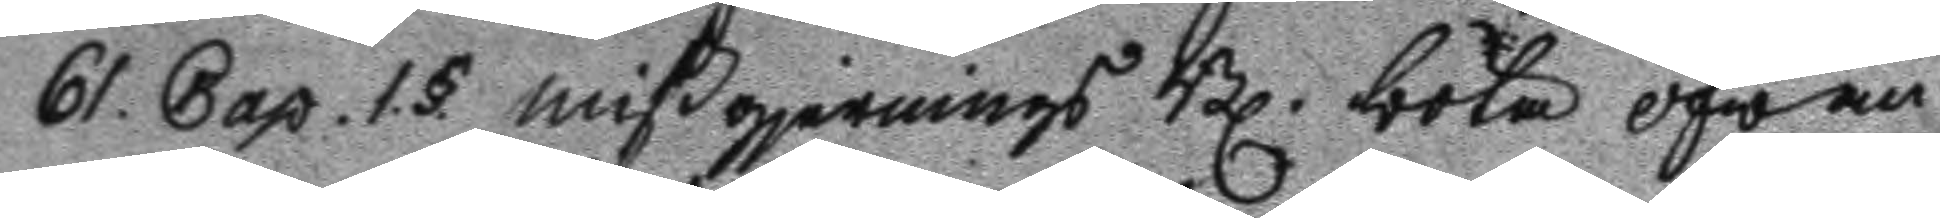61. Cap. 1.§. mißgjernings Bl. böta ofwan
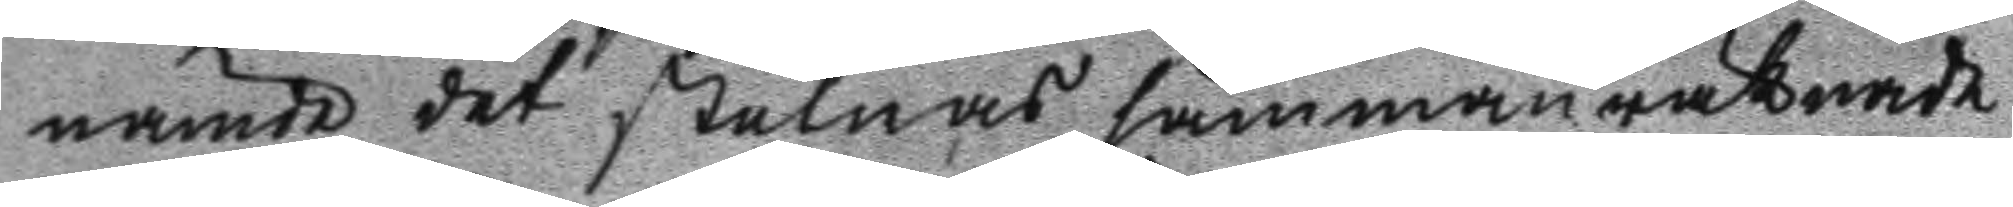nämde det stulnas sammanräknade
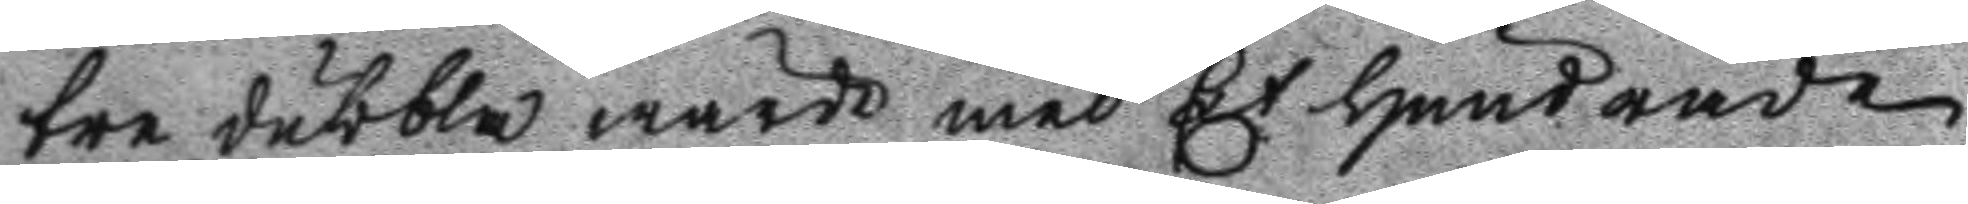tre dubbla wärde med Et Hundrade
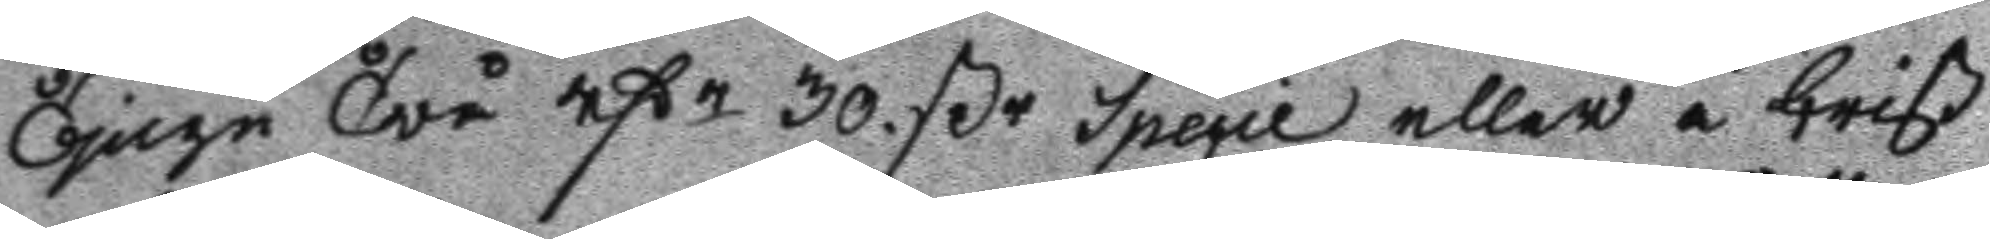Tjugu Twå rßr 30. ßr specie eller i brist
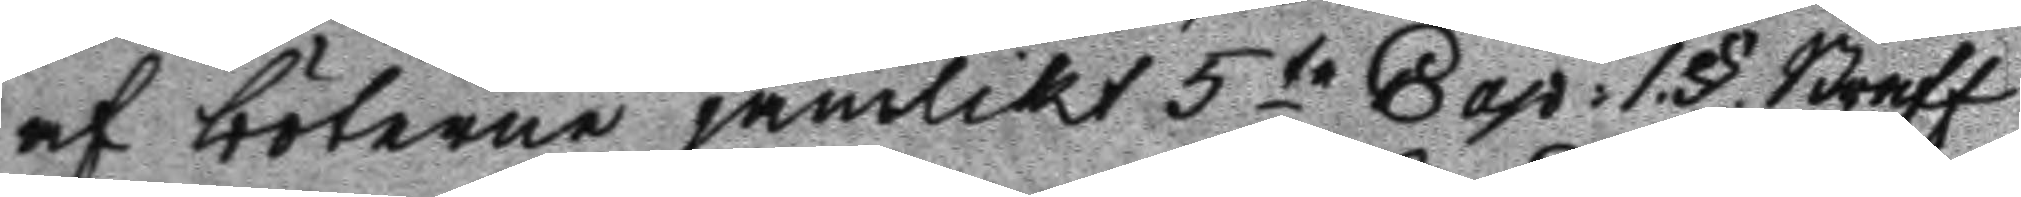af böterne jämlikt 5te Cap: 1.§. Straff
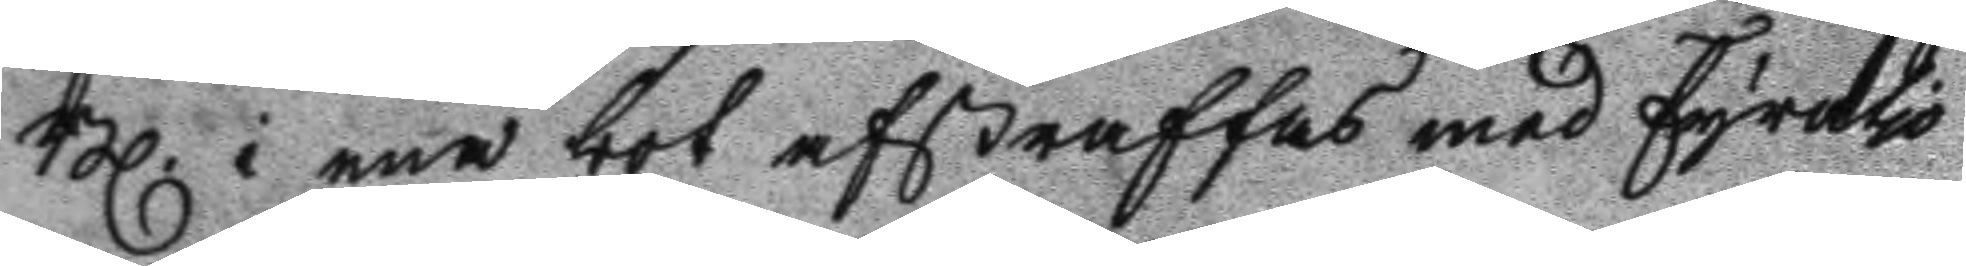Bl. i ena bot afstraffas med Fyratio
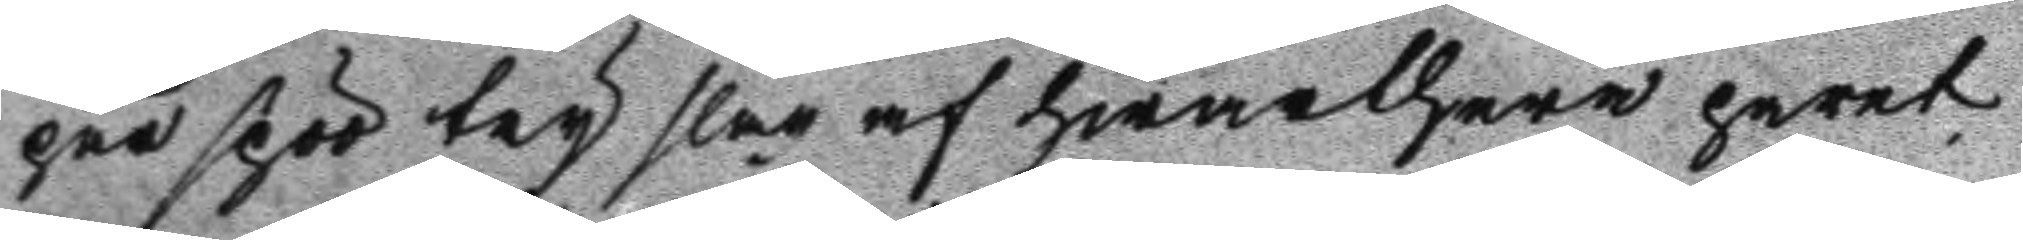par spöö try slag af hwarthera paret
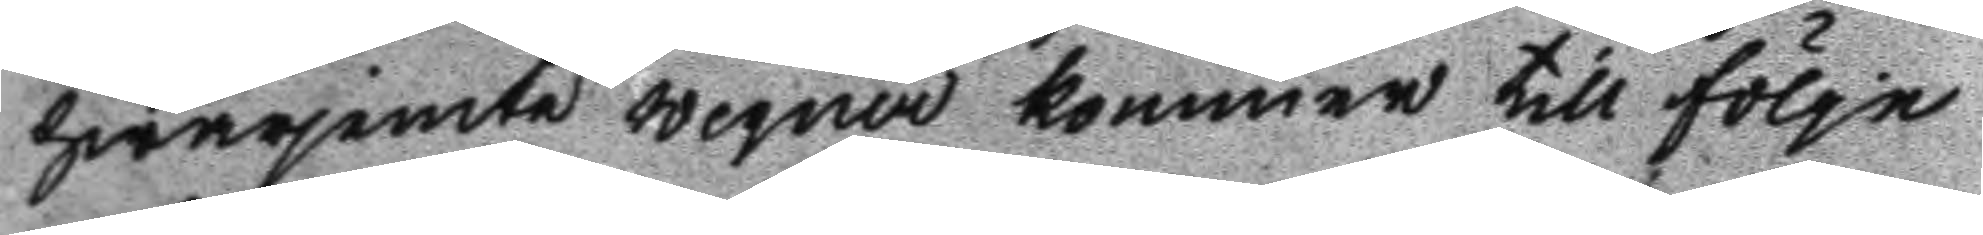hwarjemte wegner kommer till följe
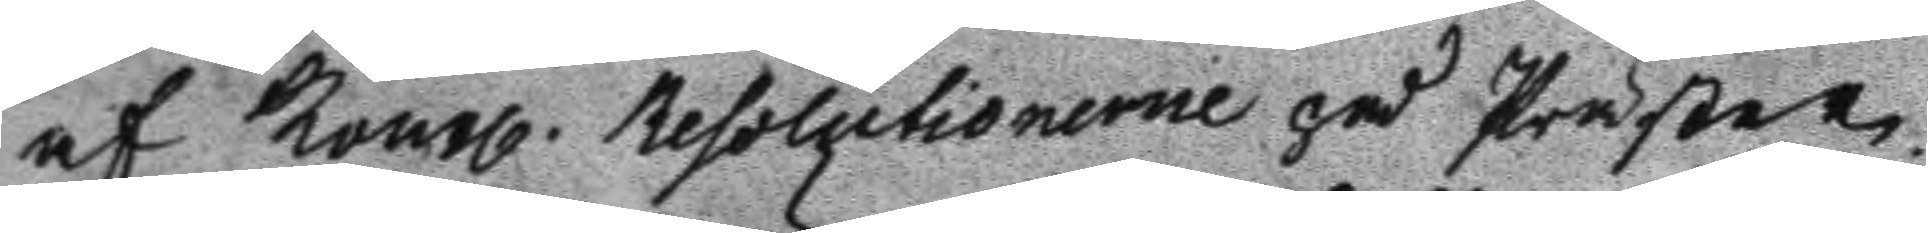af Kongl. Resolutionerne på Präster¬
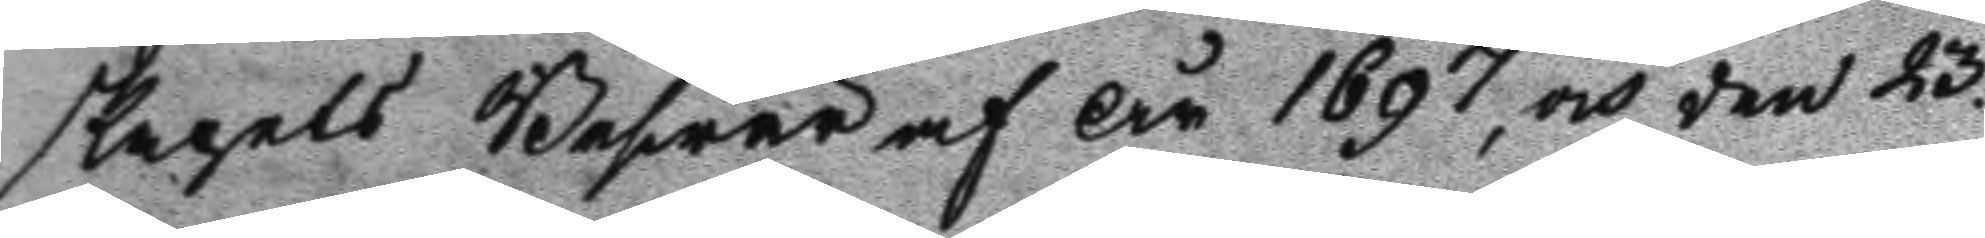skapets Beswär af År 1697, och den 23.
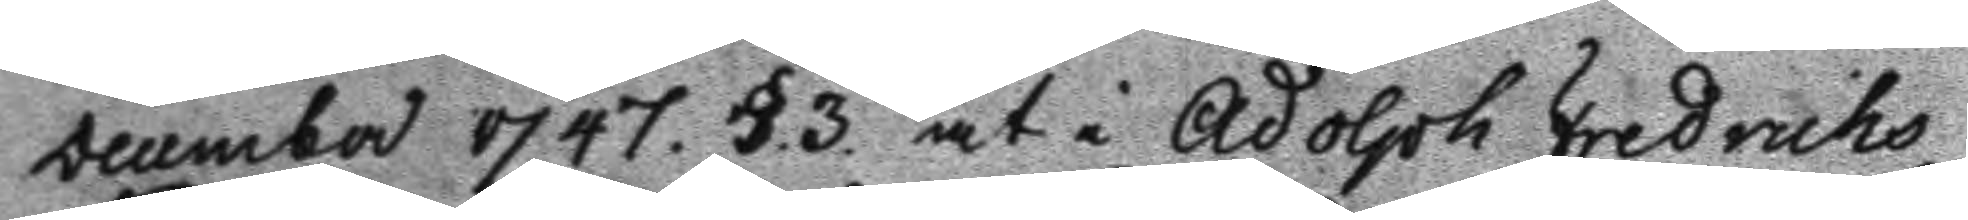Decema 1747. §.3. at i Adolph Fredrichs
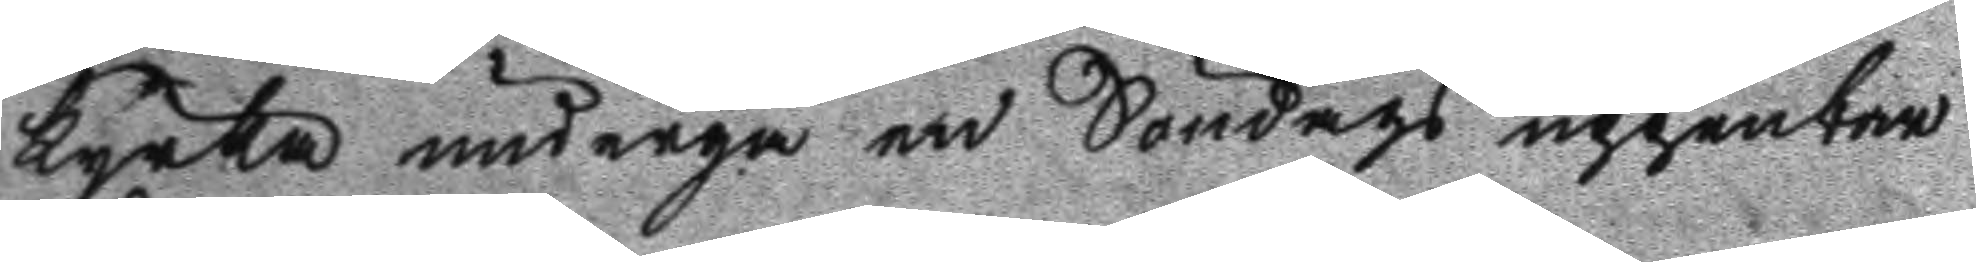kyrka undergå en Söndags uppenbar
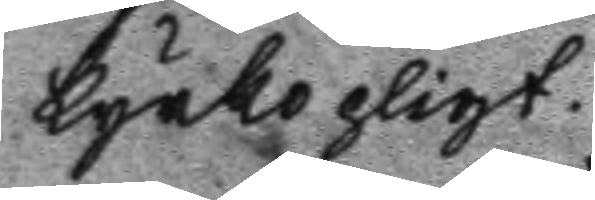kyrkopligt.
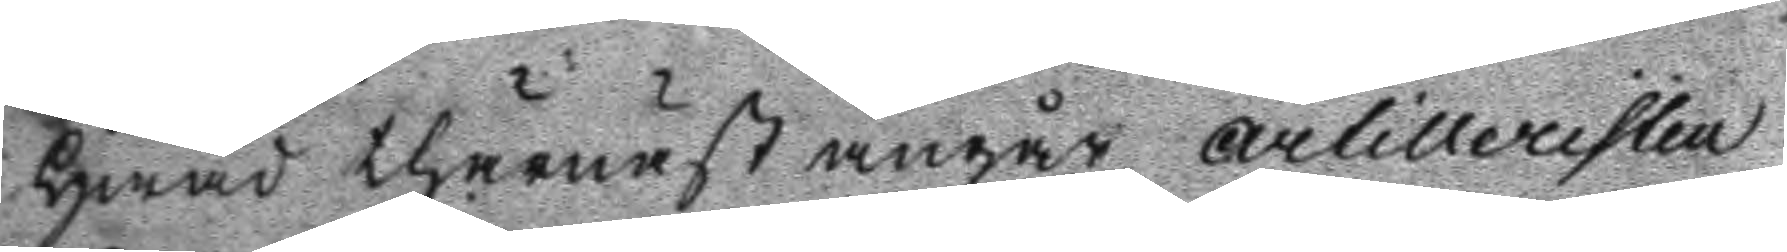Hwad thärnäst angår artilleristen
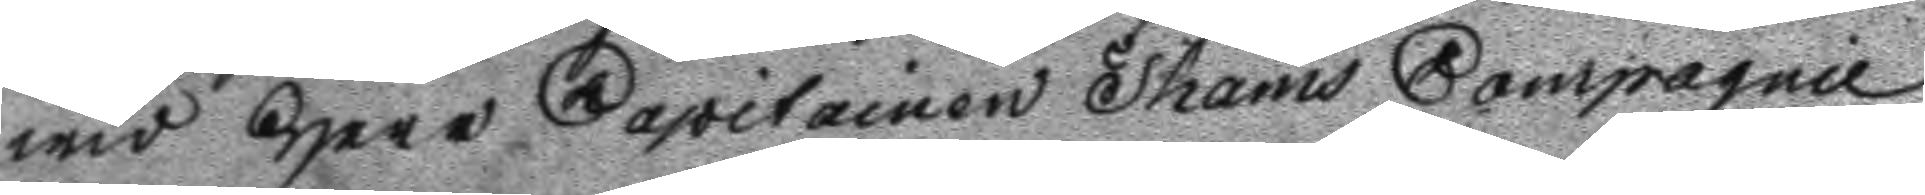wid Herr Capitainen Thams Compagnie
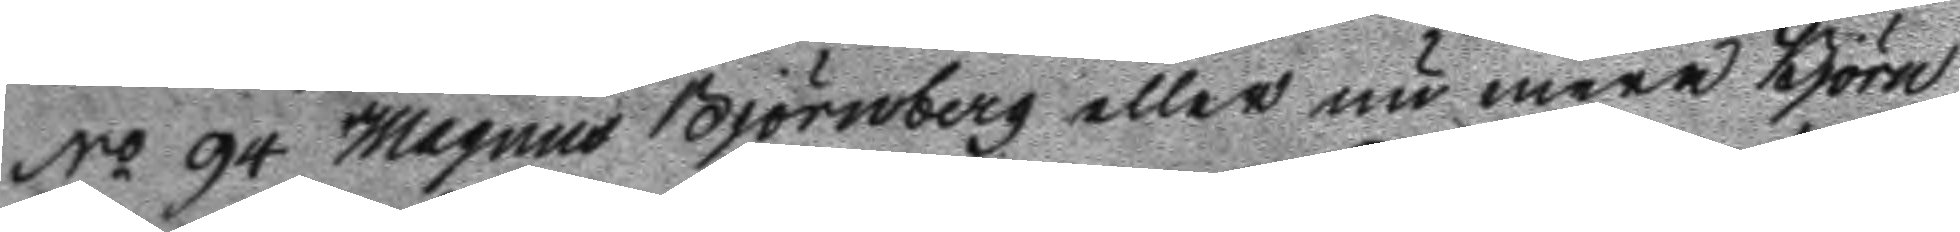No 94 Magnus Björnberg eller nu mera Björn
